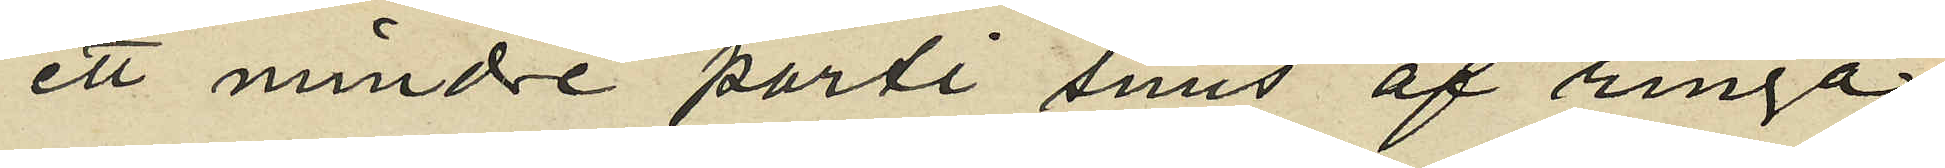ett mindre parti snus af ringa
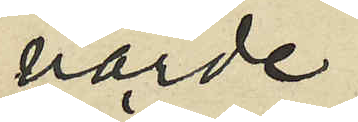värde,
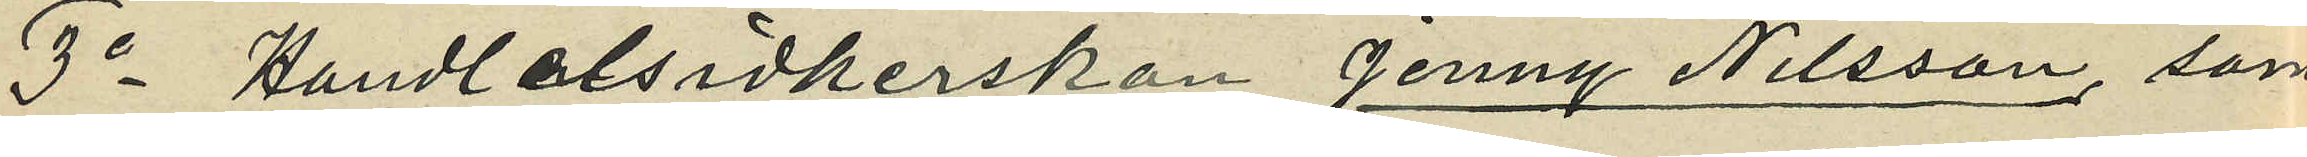3o Handelsidkerskan Jenny Nilsson, som
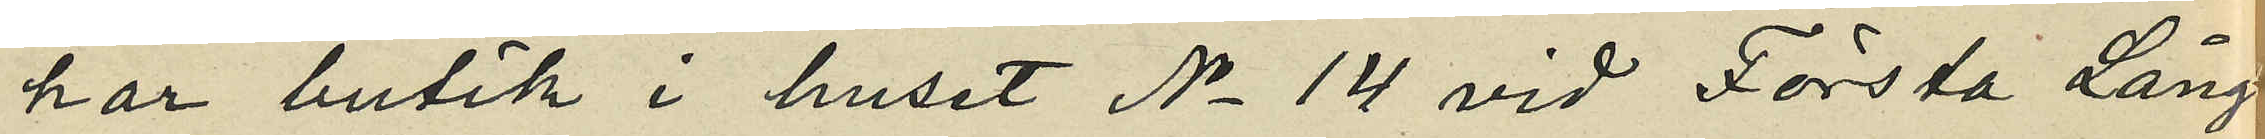har butik i huset No 14 vid Första Lång¬
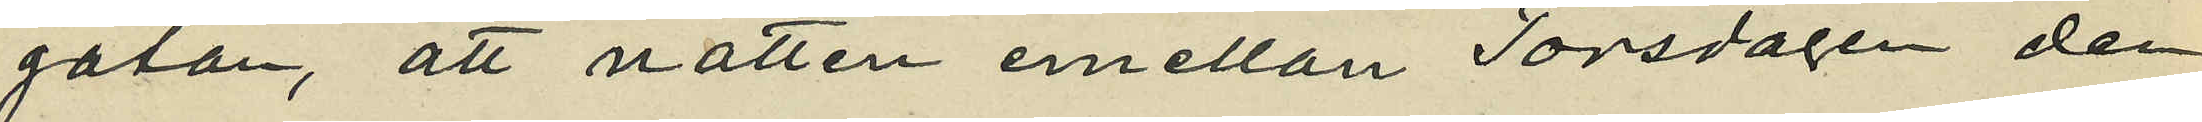gatan, att natten emellan Torsdagen den
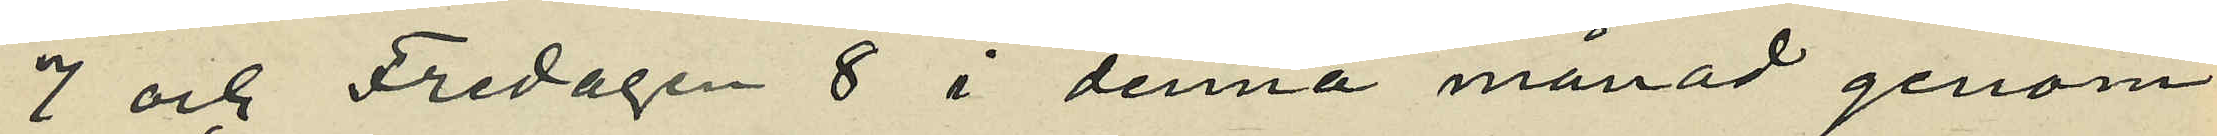7 och Fredagen 8 i denna månad genom
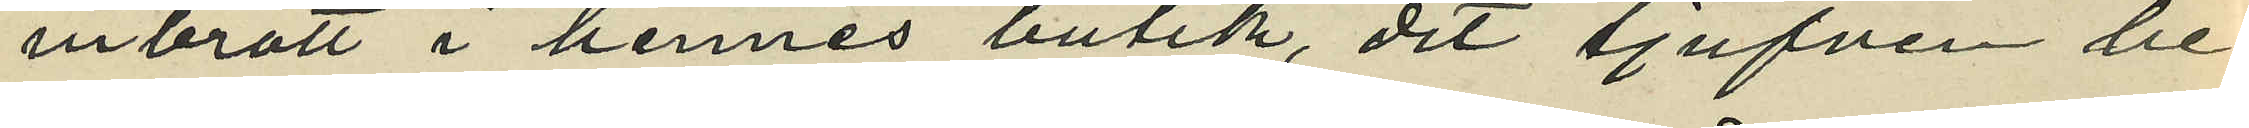inbrott i hennes butik, dit tjufven be¬
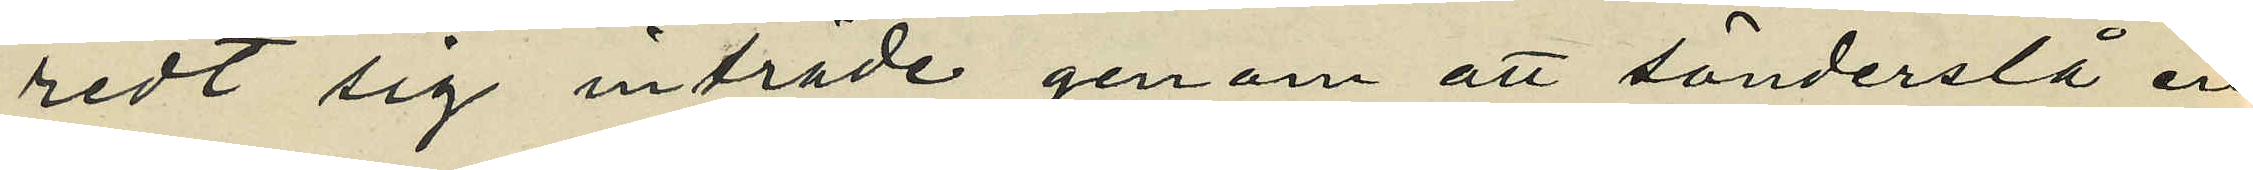redt sig inträde genom att sönderslå en
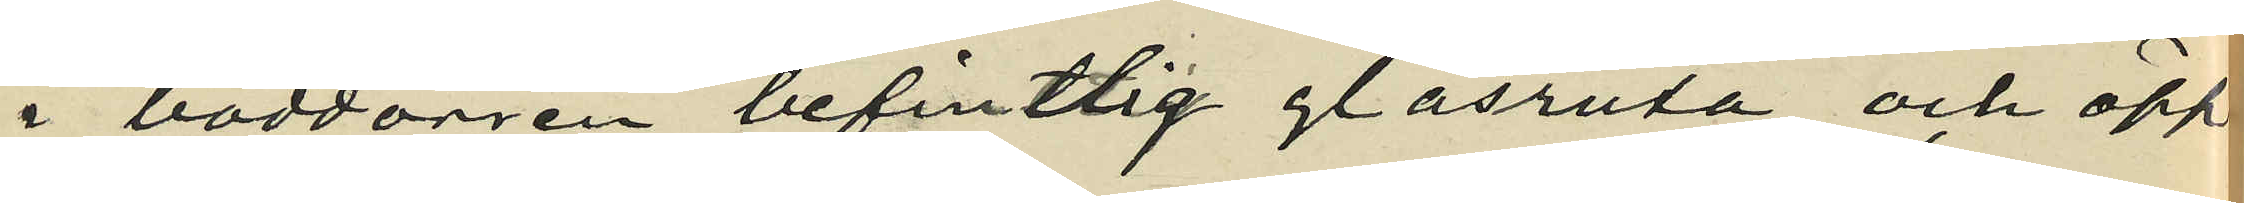i boddörren befintlig glasruta och öpp¬
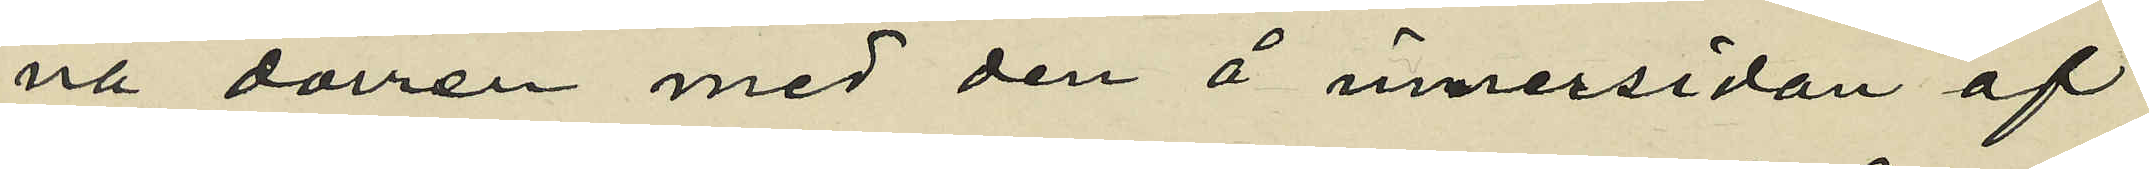na dörren med den å innersidan af
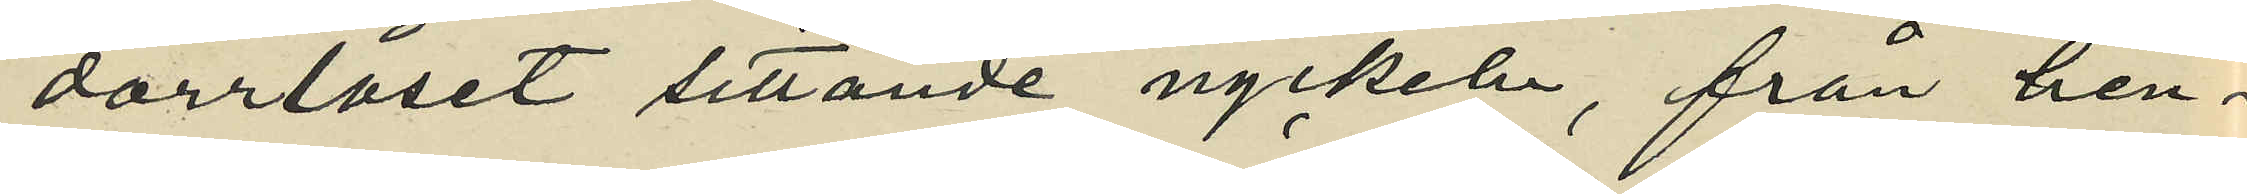dörrlåset sittande nyckeln, från hen¬
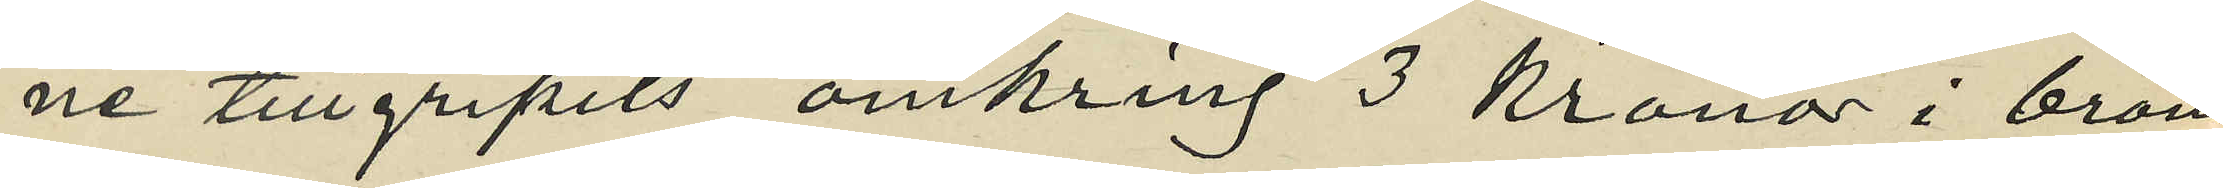ne tillgripits omkring 3 Kronor i brons¬
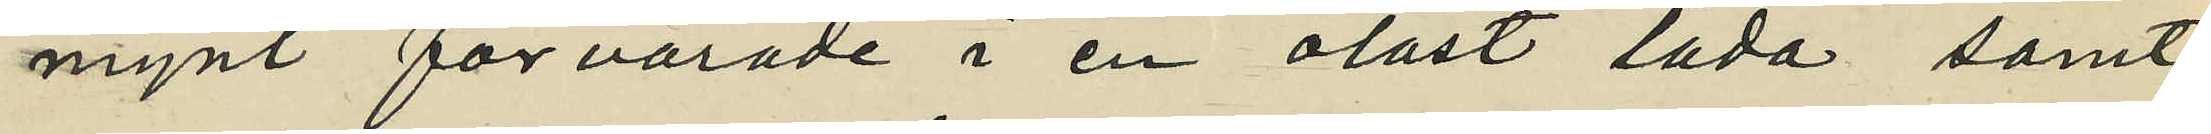mynt förvarade i en olåst låda samt
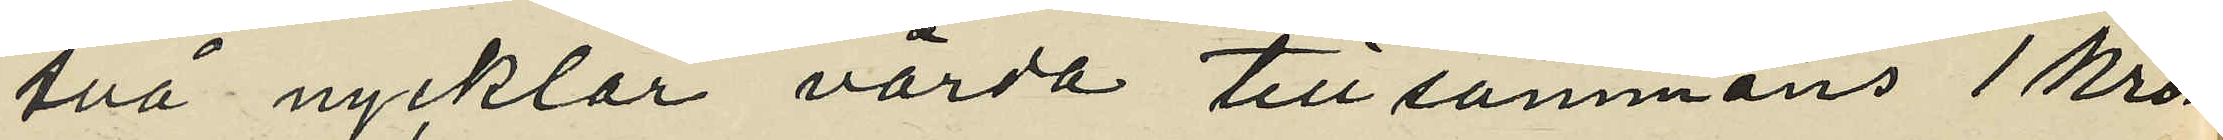två nycklar värda tillsammans 1 krona.
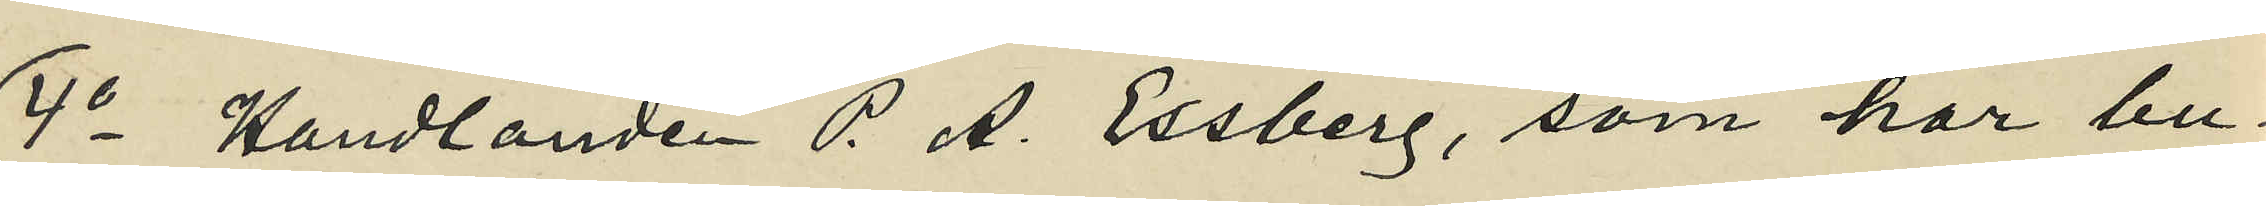4o Handlanden P. A. Essberg, som har bu¬
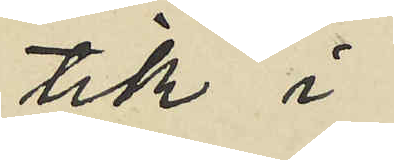tik i
